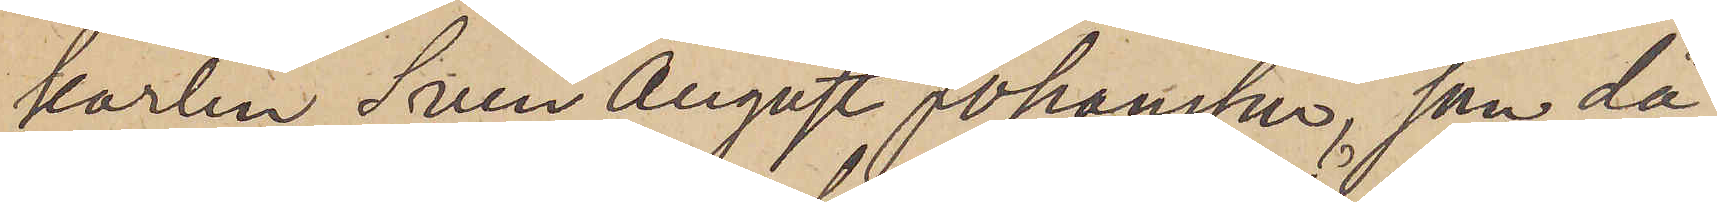karlen Sven August Johansson, som då
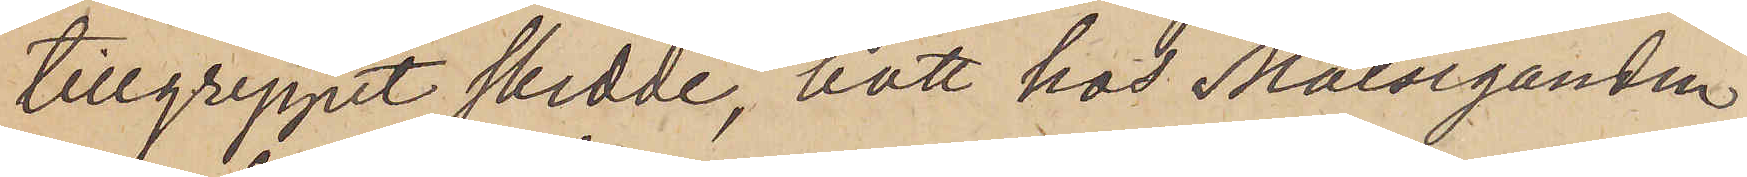tillgreppet skedde, bott hos Målseganden
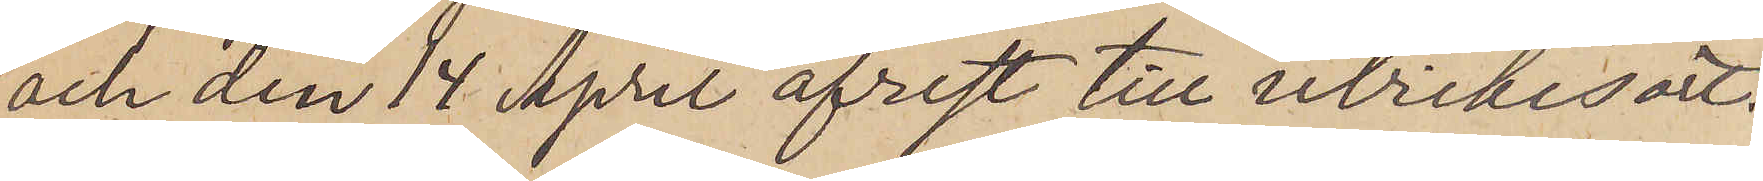och den 14 April afrest till utrikes ort.
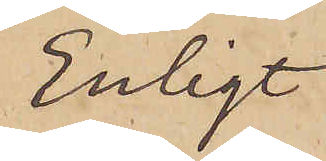Enligt
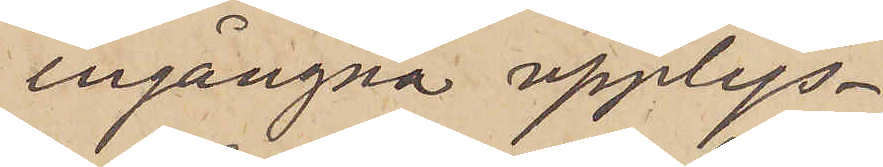ingångna upplys¬
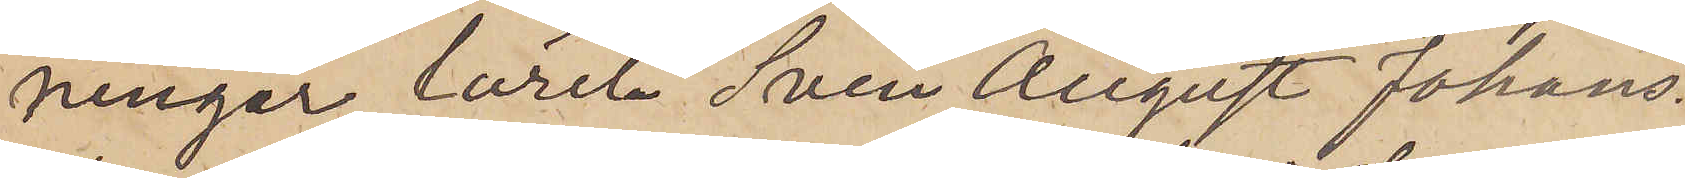ningar lärer Sven August Johans¬
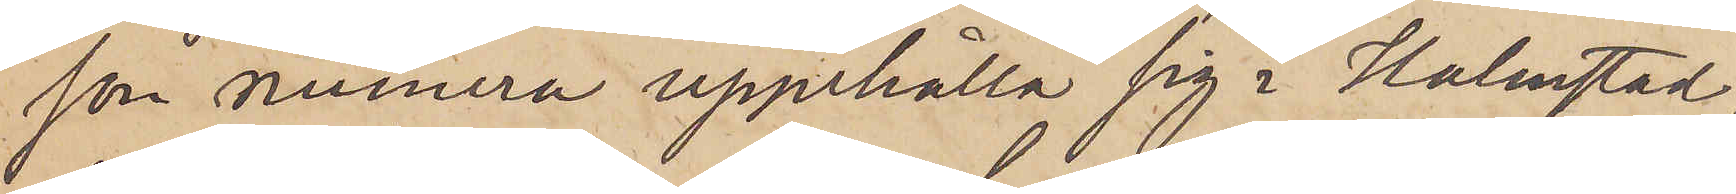son numera uppehålla sig i Halmstad,
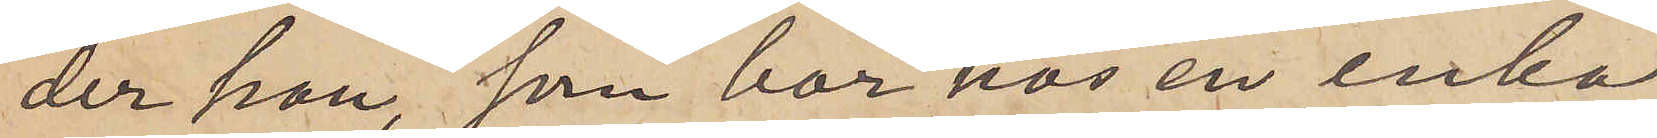der han, som bor hos en enka
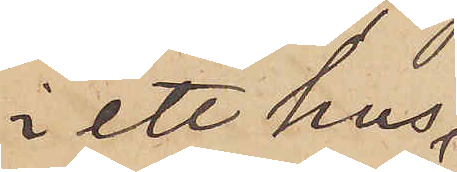i ett hus
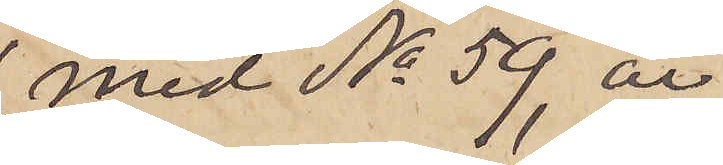med No 59, är
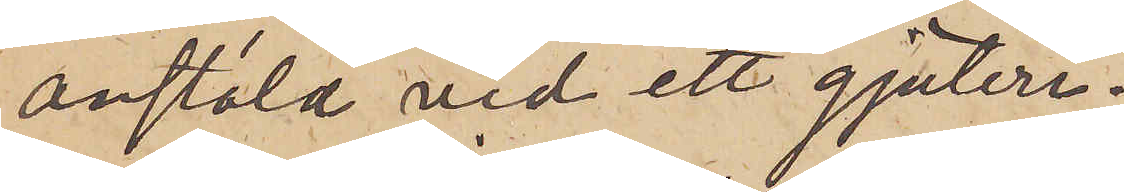anstäld vid ett gjuteri.
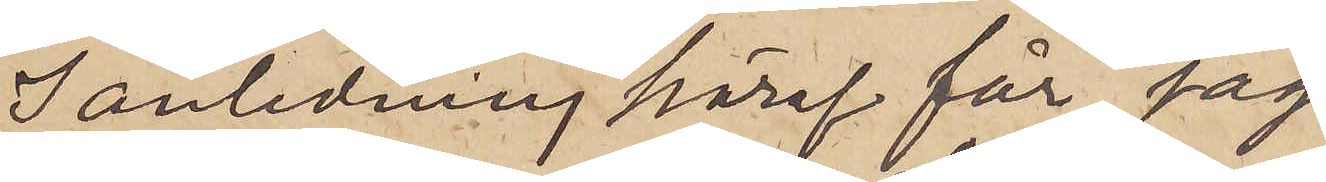I anledning häraf får jag
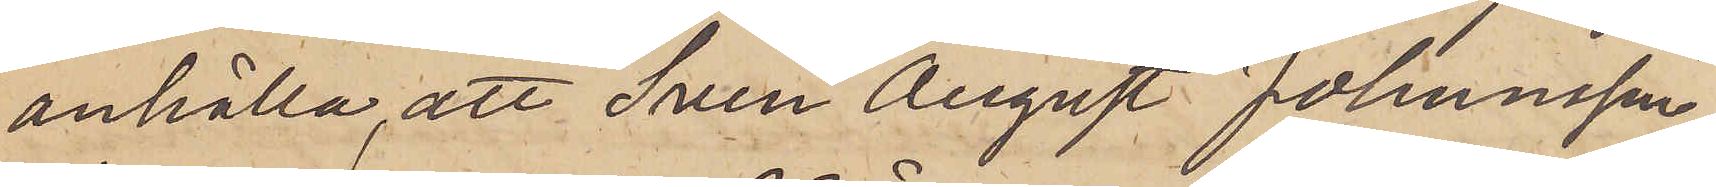anhålla, att Sven August Johansson,
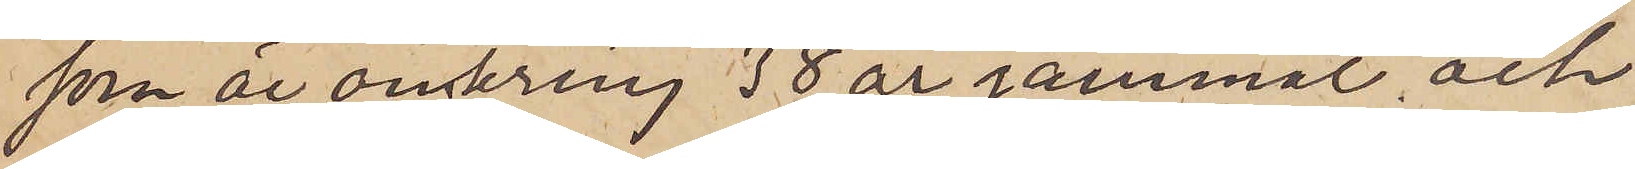som är omkring 38 år gammal och
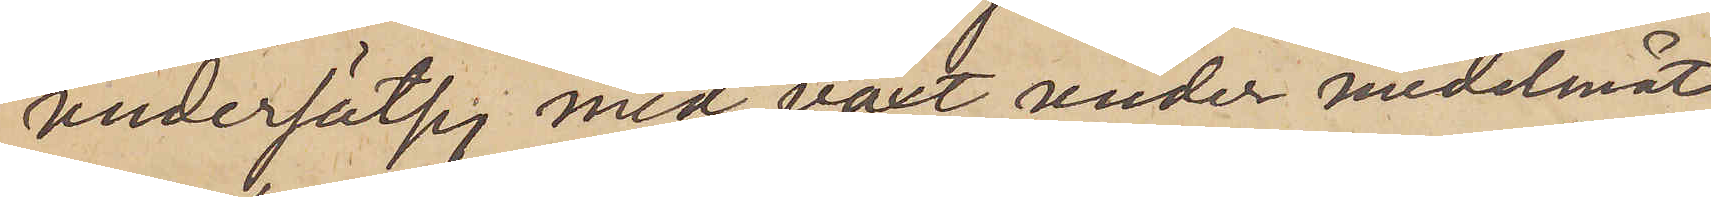undersätsig med växt under medelmåt¬
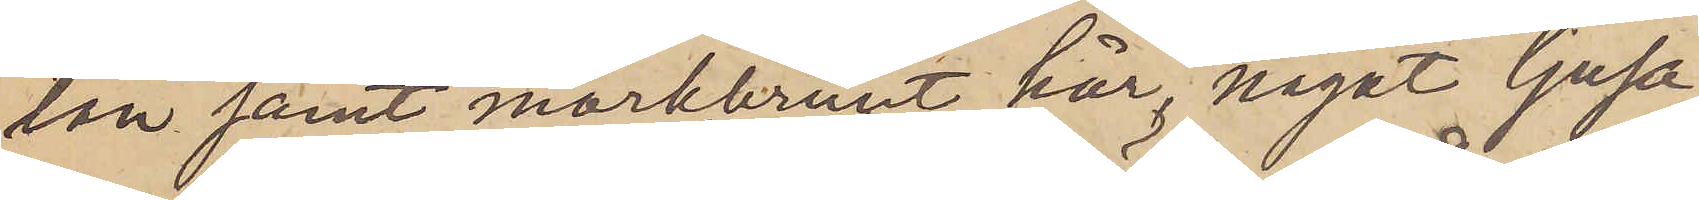tan samt mörkbrunt hår, något ljusa¬
